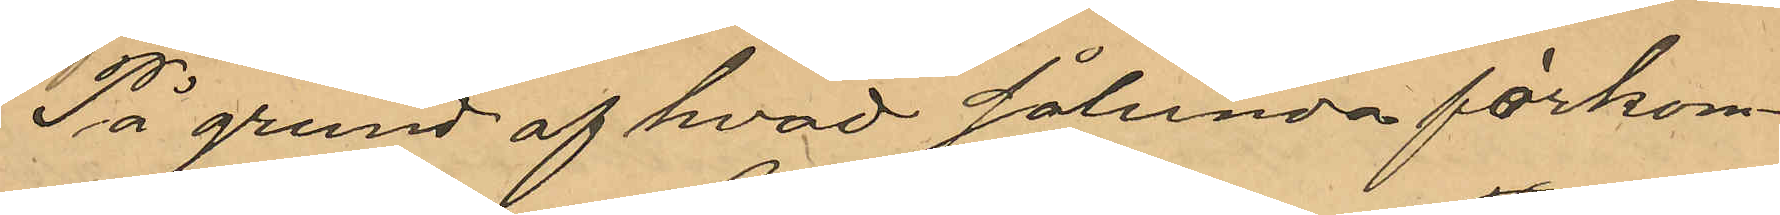På grund af hvad sålunda förkom¬
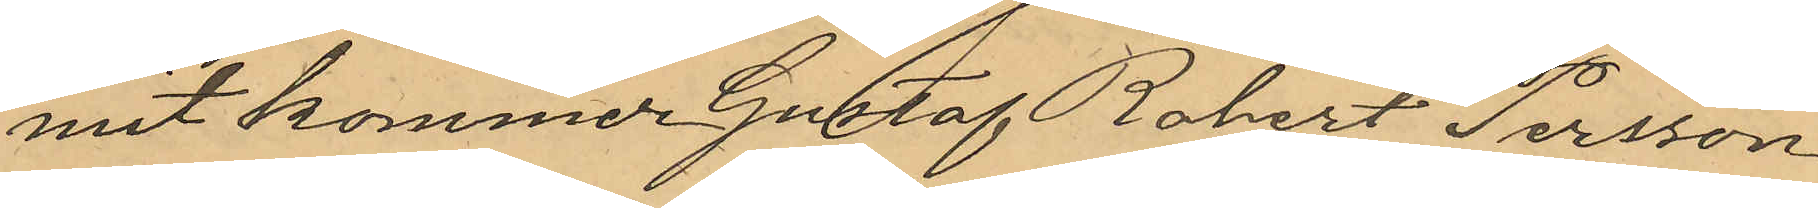mit kommer Gustaf Robert Persson
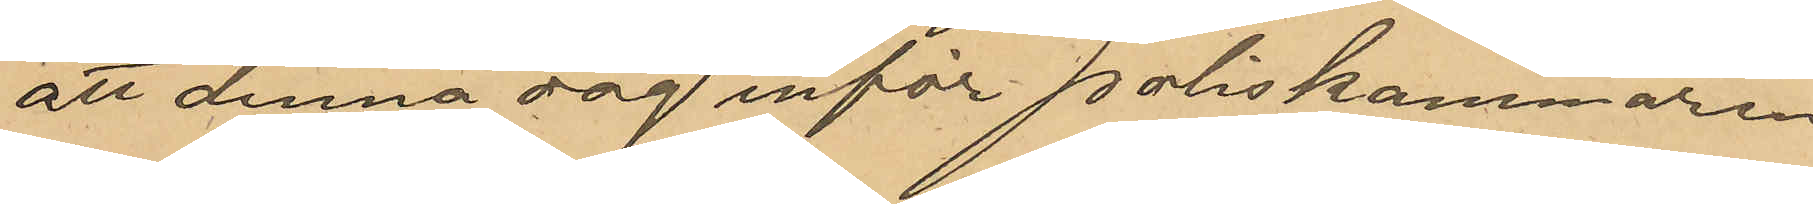att denna dag inför poliskammaren
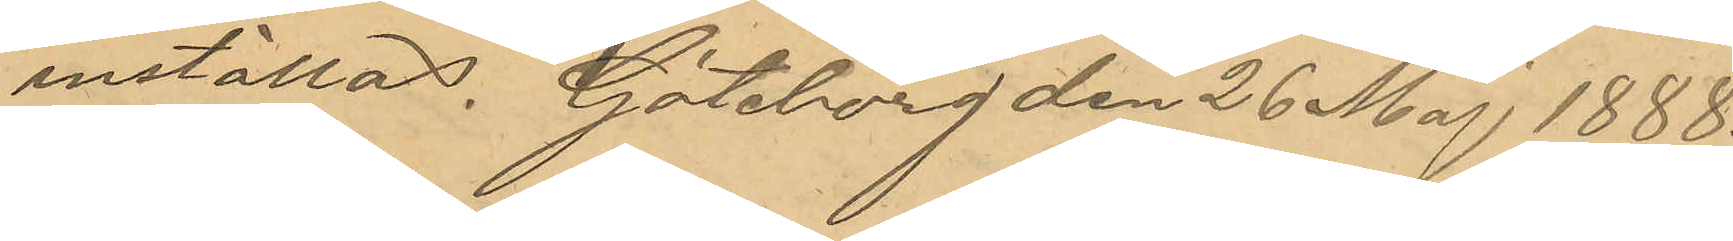inställas. Göteborg den 26 Maj 1888.
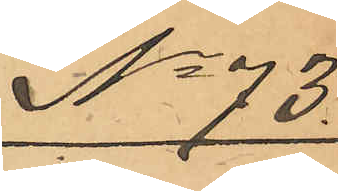No 73
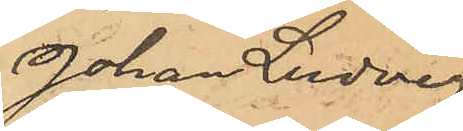Johan Ludvig
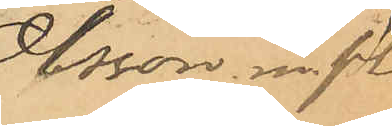Olsson m fl.
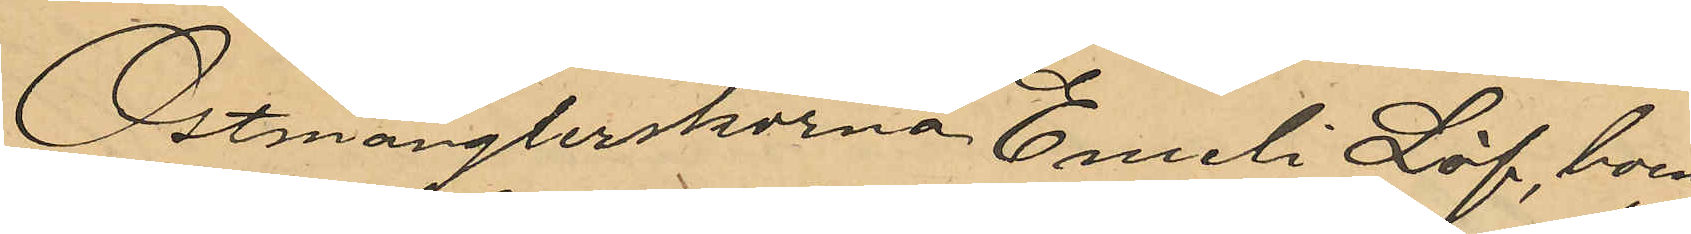Ostmånglerskan Emeli Löf, boen¬
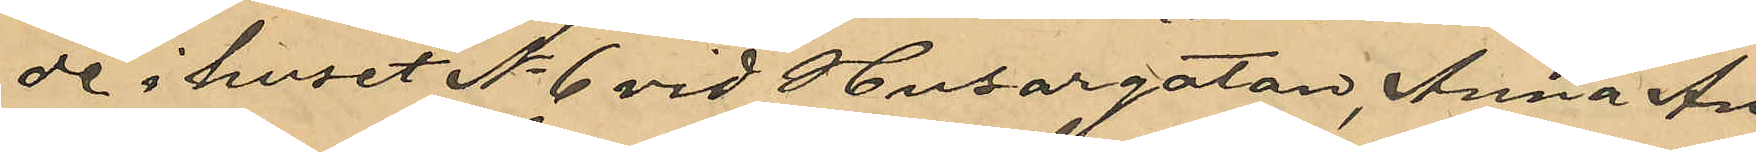de i huset No 6 vid Husargatan; Anna An¬
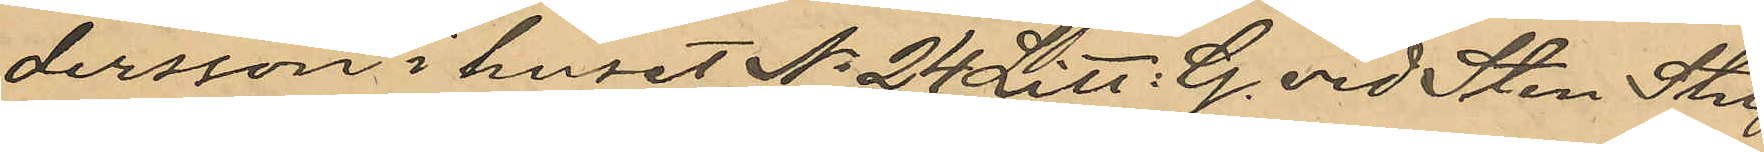dersson i huset No 24 Litt: G. vid Sten Stu¬
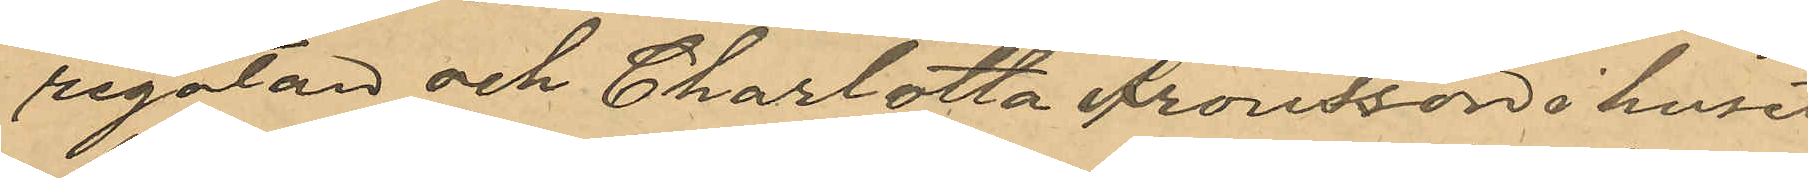regatan och Charlotta Aronsson i huset
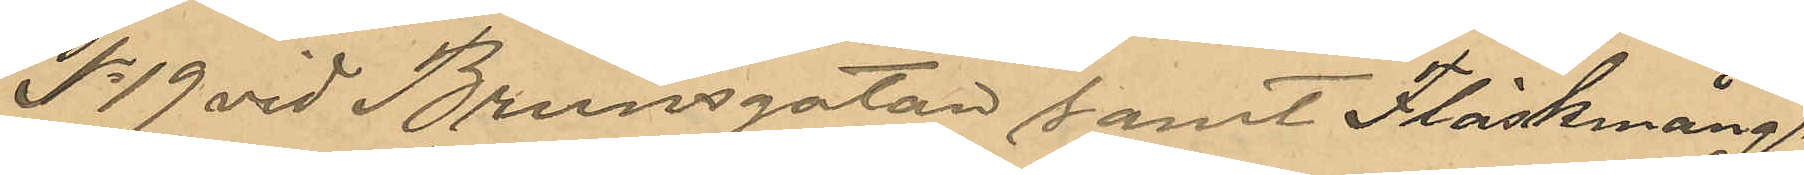No 19 vid Brunnsgatan samt Fläskmång¬
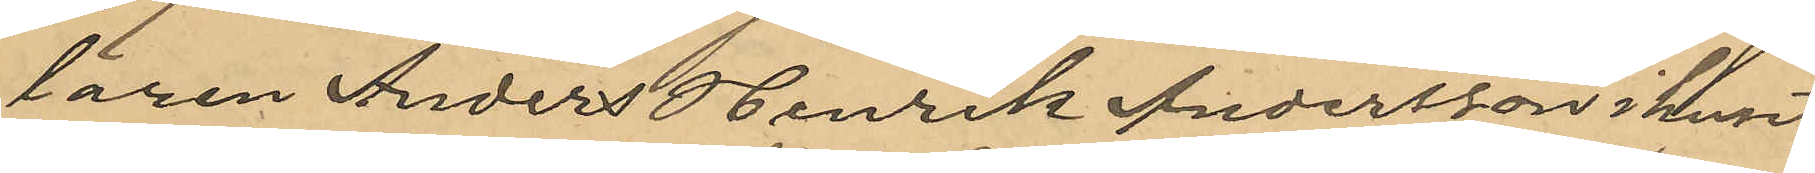laren Anders Henrik Andersson i huset
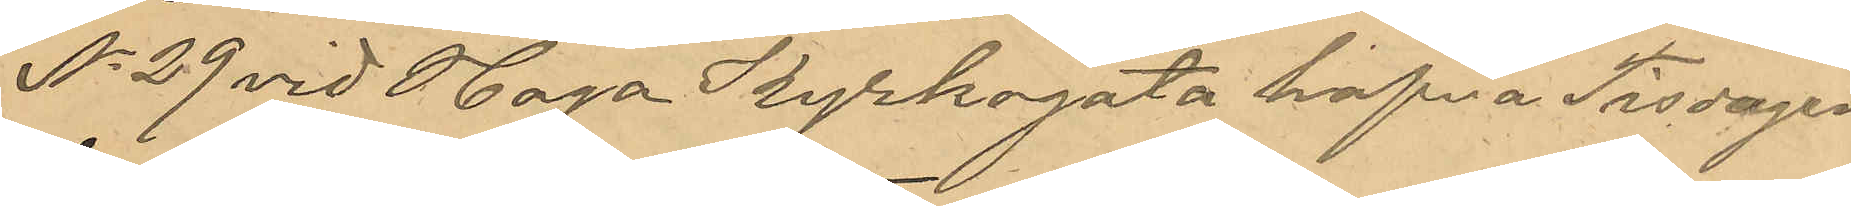No 29 vid Haga Kyrkogata hafva Tisdagen
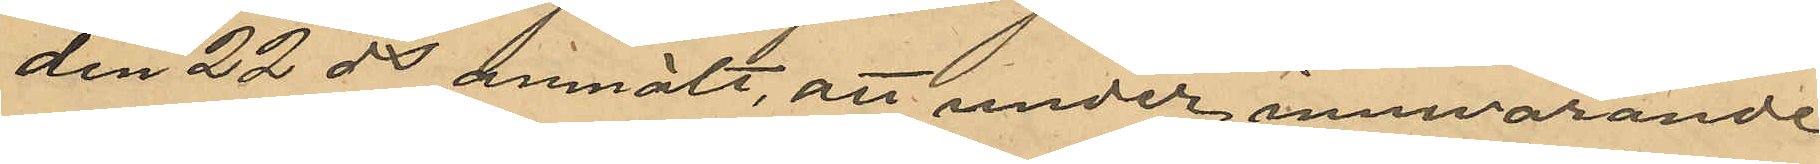den 22 ds anmält, att under innevarande
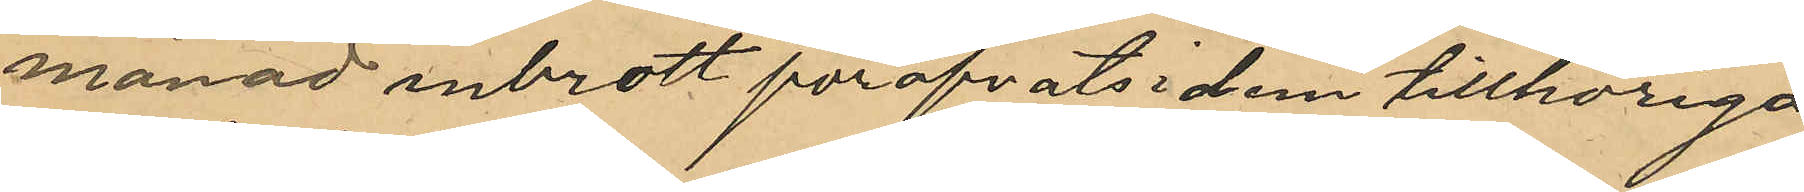månad inbrott föröfvats i dem tillhöriga
